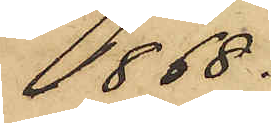1868.
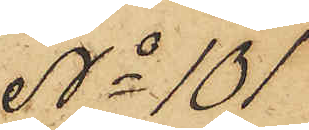No 101
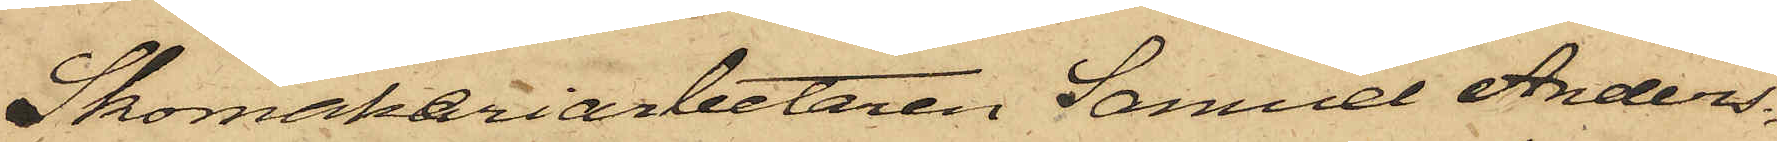Skomakeriarbetaren Samuel Anders¬
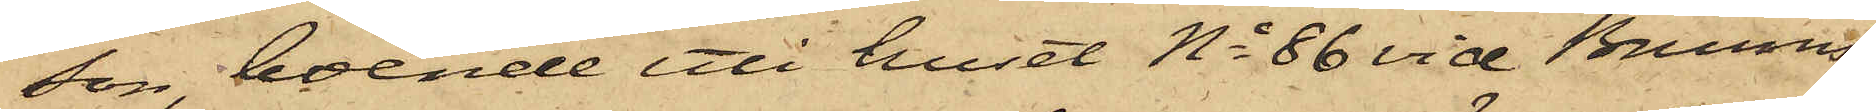son, boende uti huset No 86 vid Brunns¬
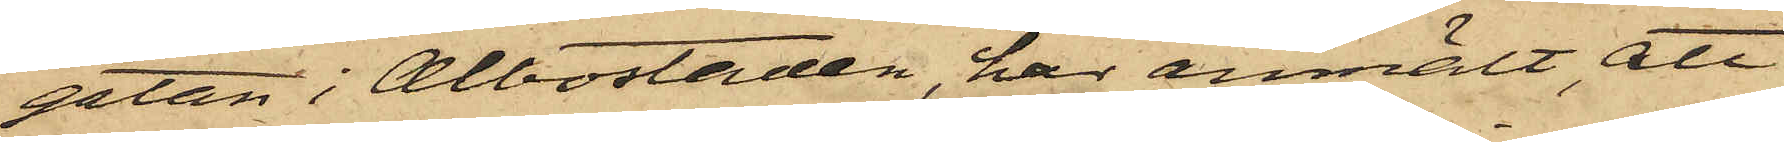gatan i Albostaden, har anmält, att
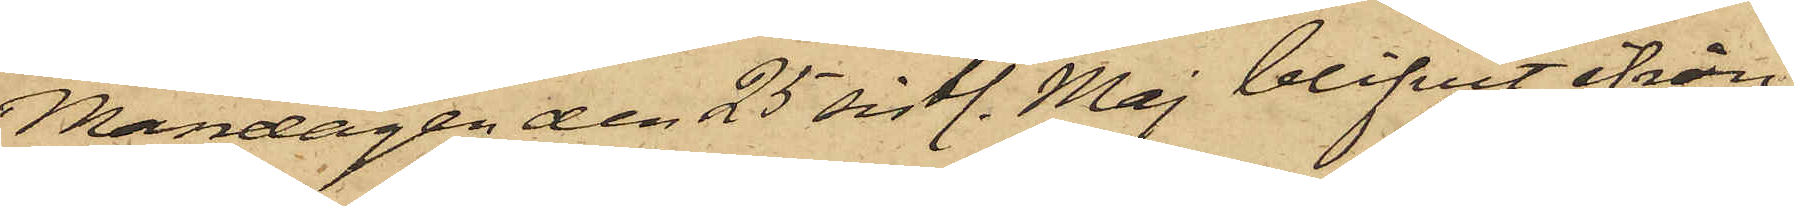Måndagen den 25 sistl. Maj blifvit ifrån
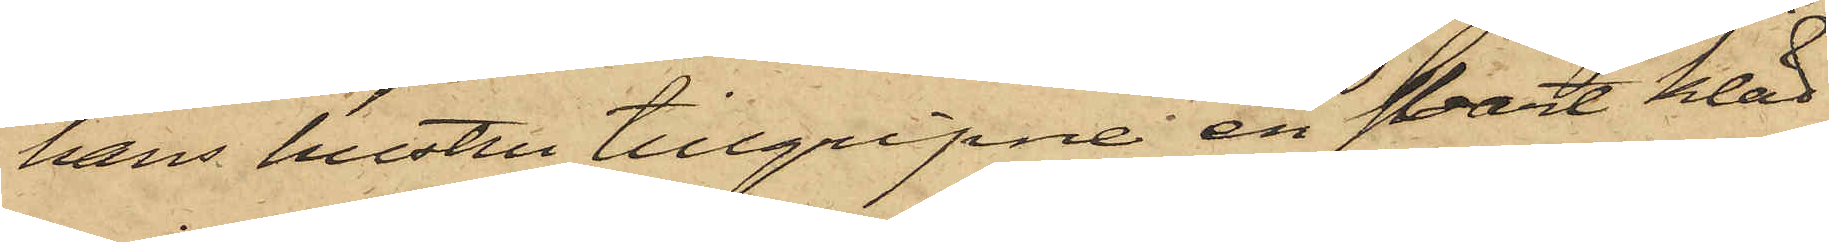hans hustru tillgripne en svart kläd¬
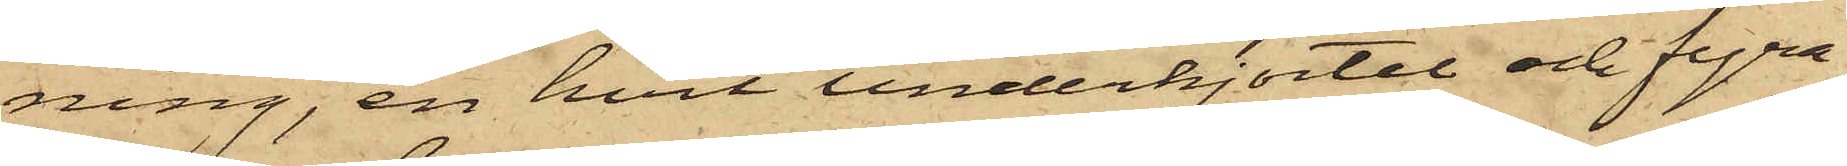ning, en hvit underkjortel och fyra
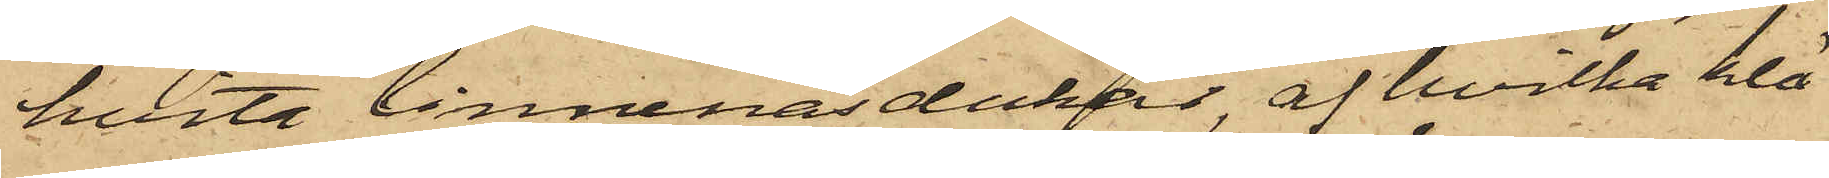hvita linnenäsdukar, af hvilka klä¬
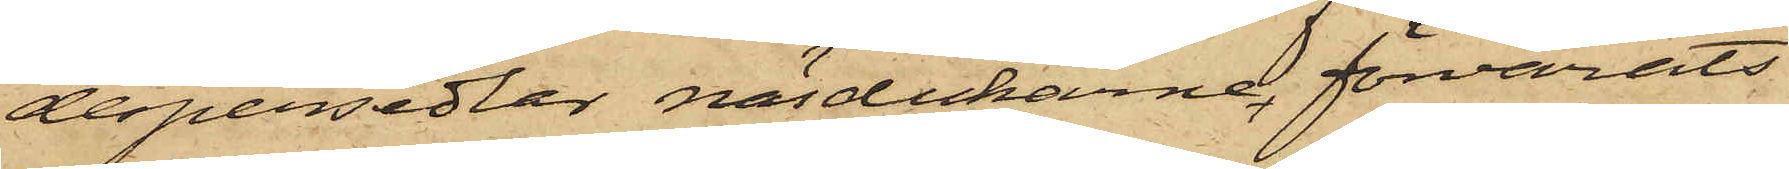despersedlar näsdukarne förvarats
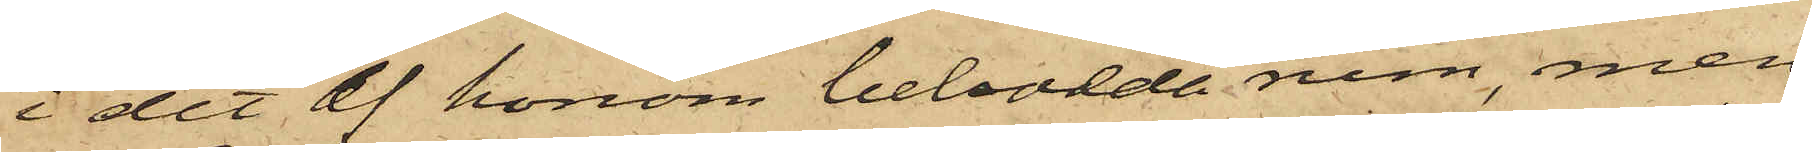i det af honom bebodda rum, men
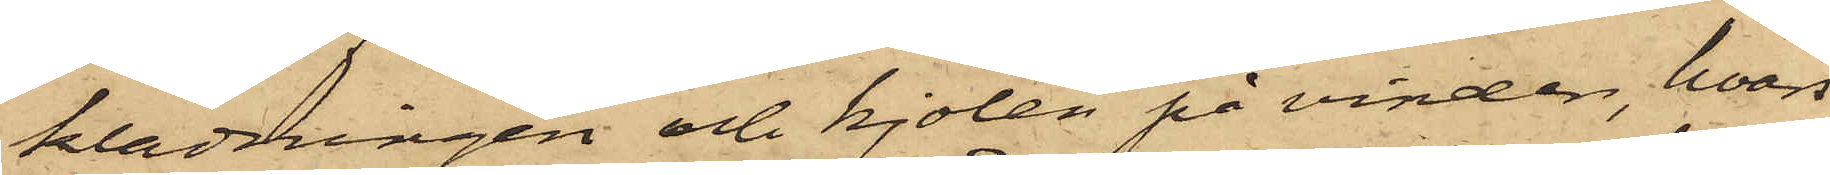klädningen och kjolen på vinden, hvars
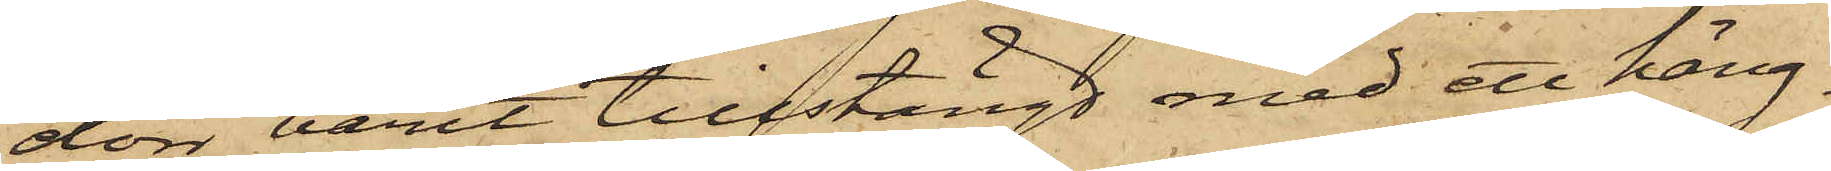dörr varit tillstängd med ett häng¬
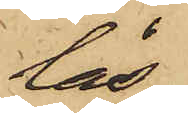lås,
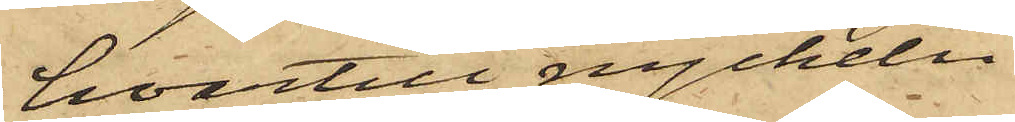hvartill nyckeln
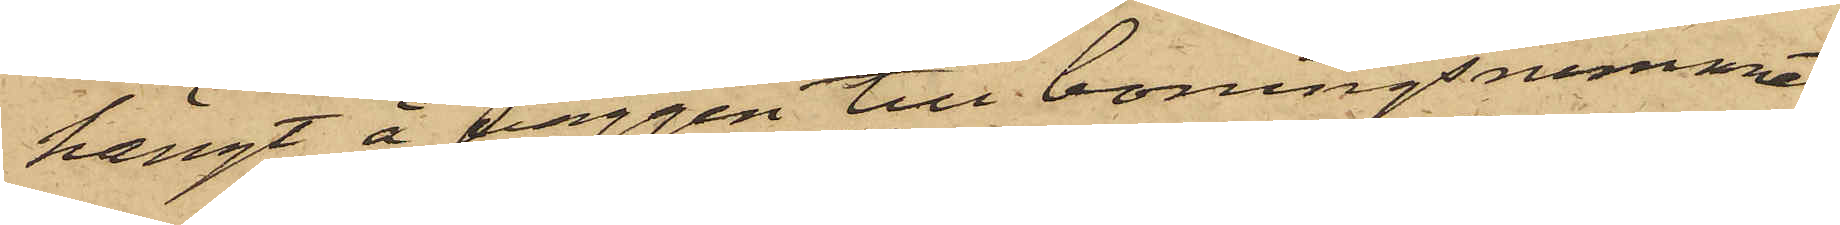hängt å väggen till boningsrummet,
